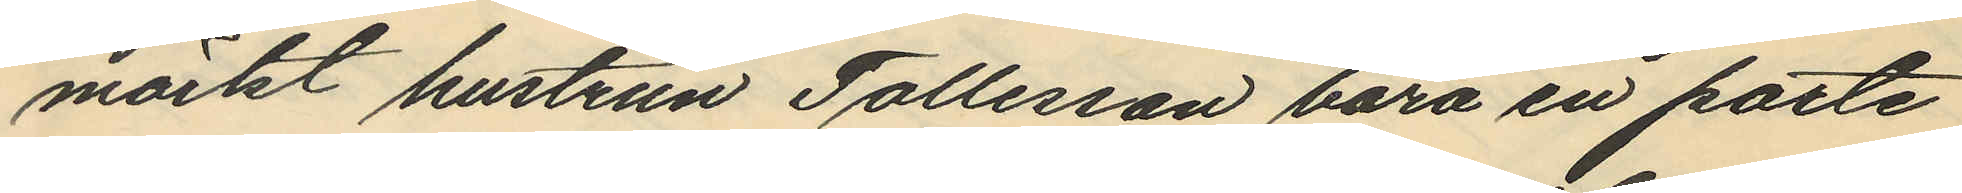märkt hustrun Tollesson bära en porte
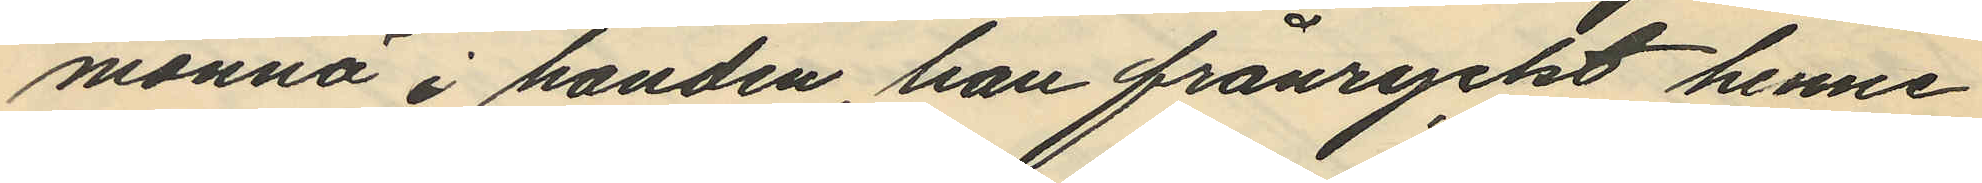monnä i handen, han frånryckt henne
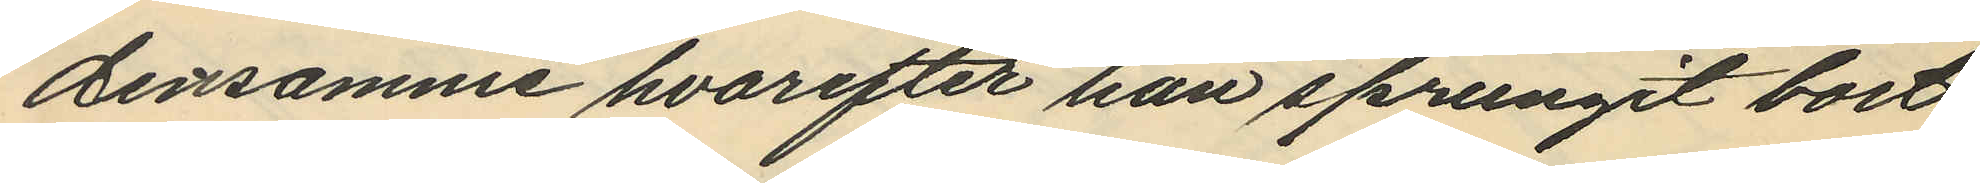densamme hvarefter han sprungit bort
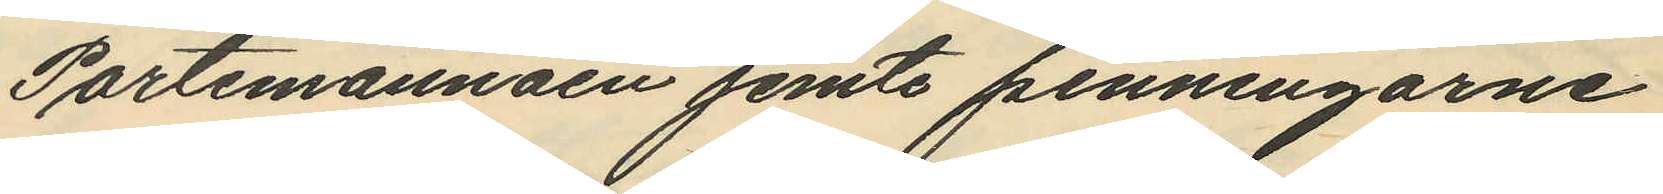Portemonnäen jemte penningarne
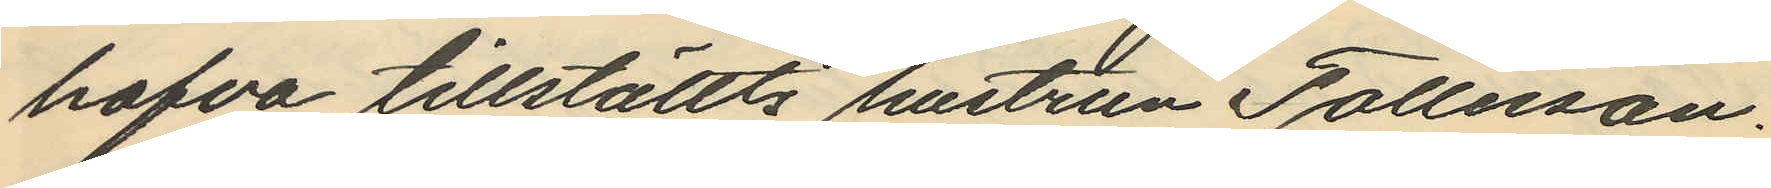hafva tillställts hustrun Tollesson.
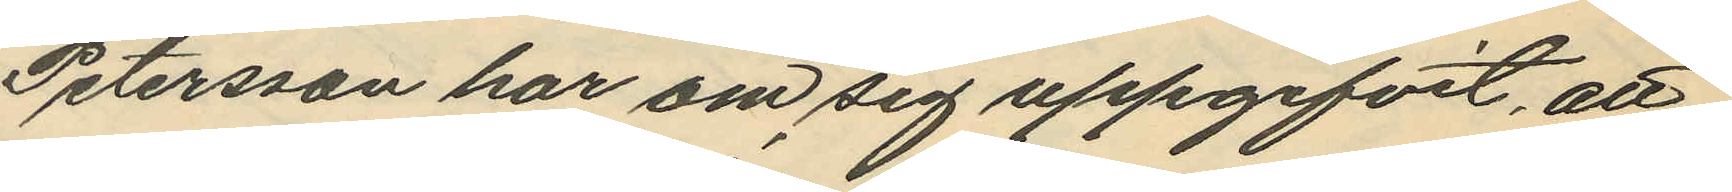Petersson har om sig uppgifvit, att
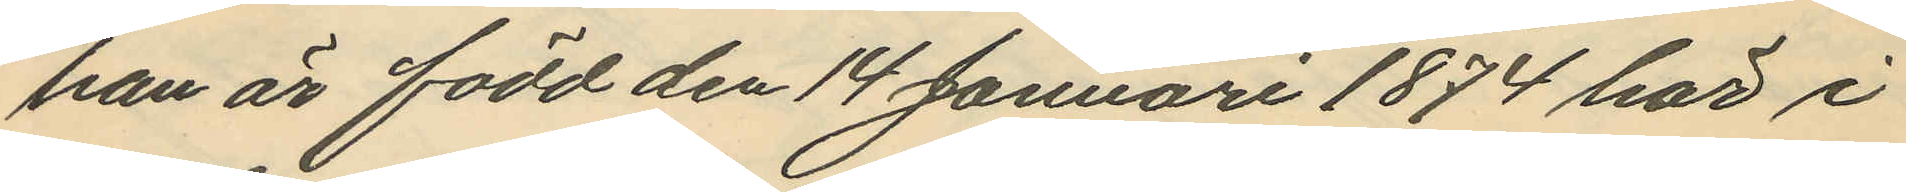han är född den 14 Januari 1874 här i
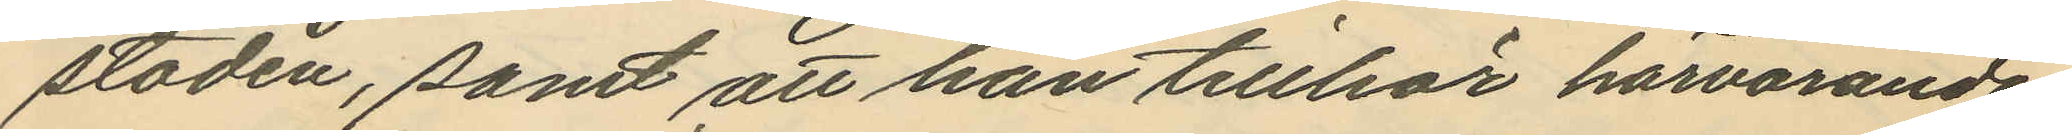staden, samt att han tillhör härvarande
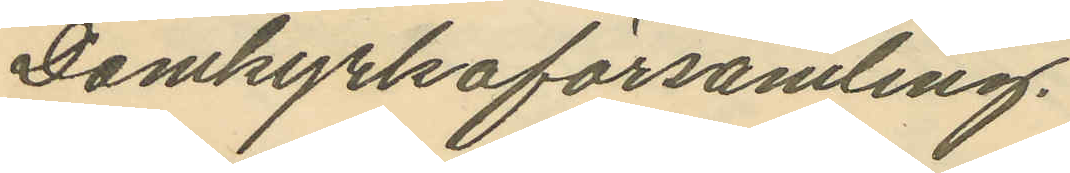Domkyrkoförsamling.
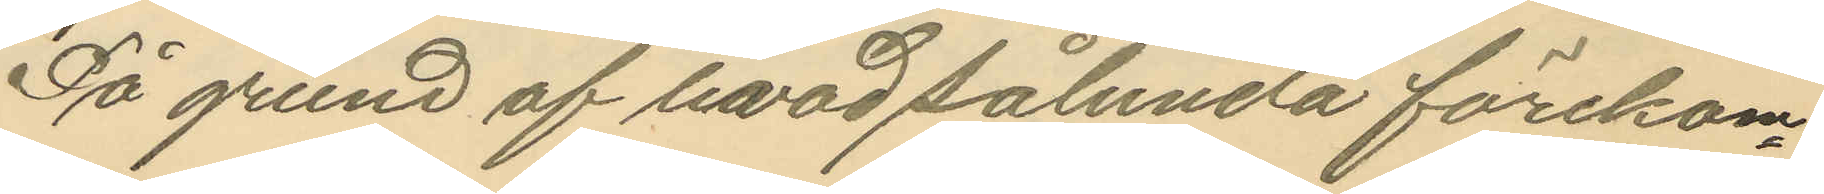På grund af hvad sålunda förekom¬
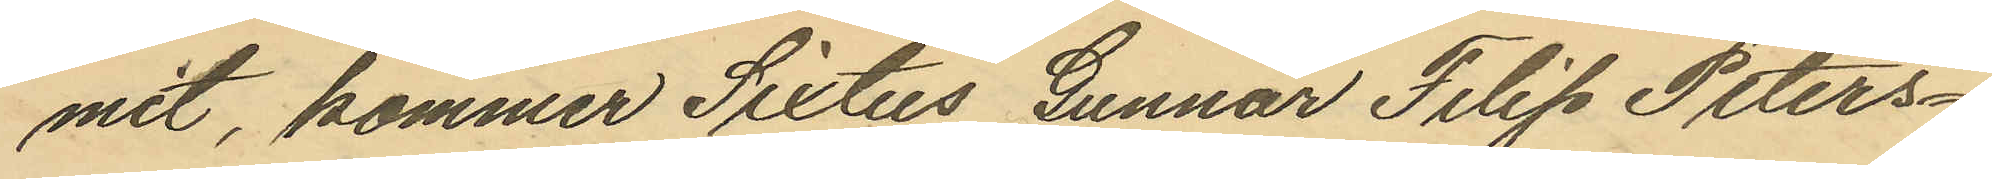mit, kommer Sixtus Gunnar Filip Peters¬
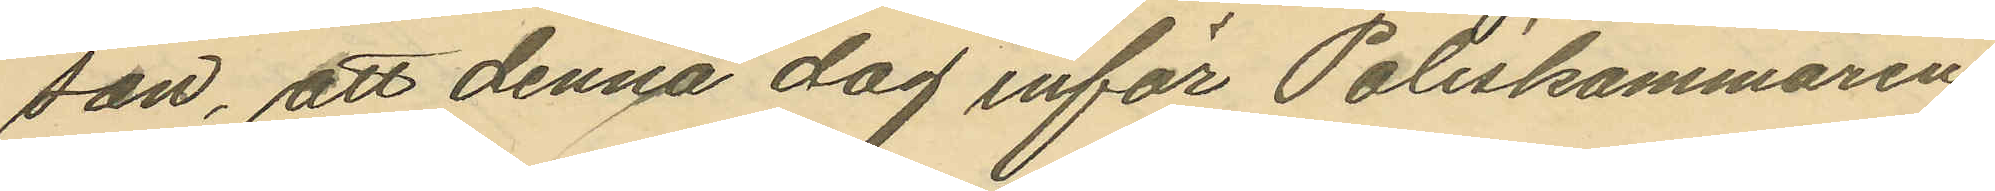son, att denna dag inför Poliskammaren
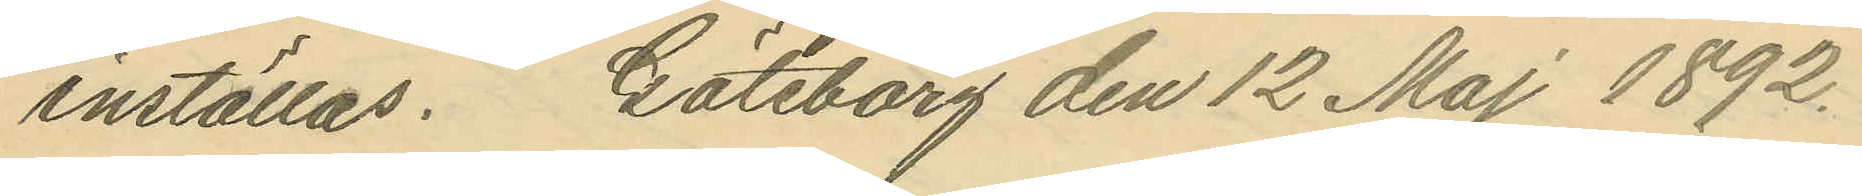inställas. Göteborg den 12 Maj 1892.
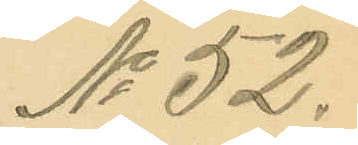No 52.
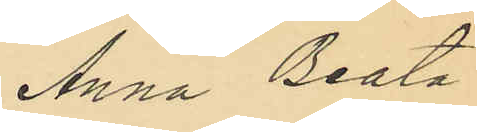Anna Beata
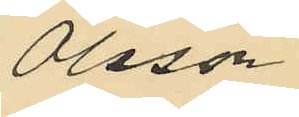Olsson.
